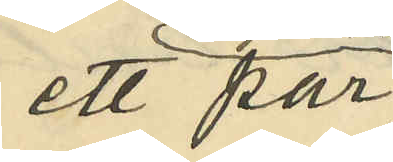ett par
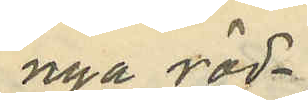nya röd¬
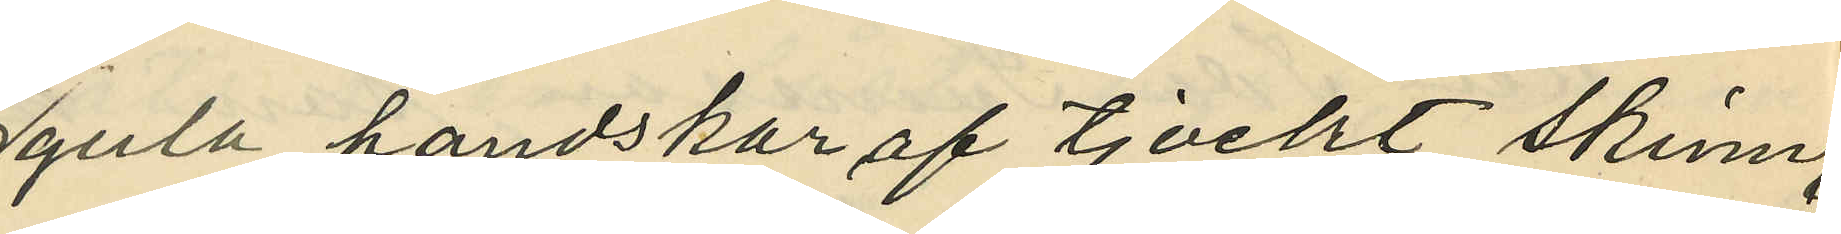gula handskar af tjockt skinn,
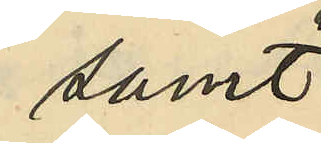samt
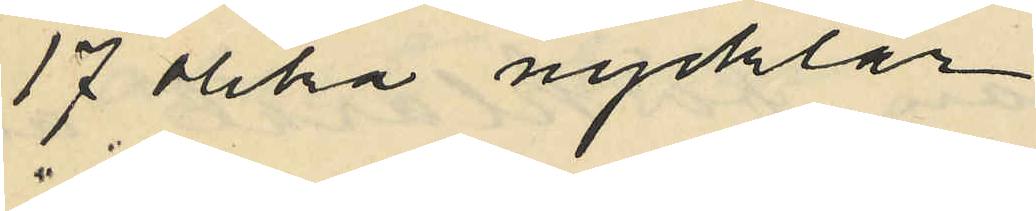17 olika nycklar
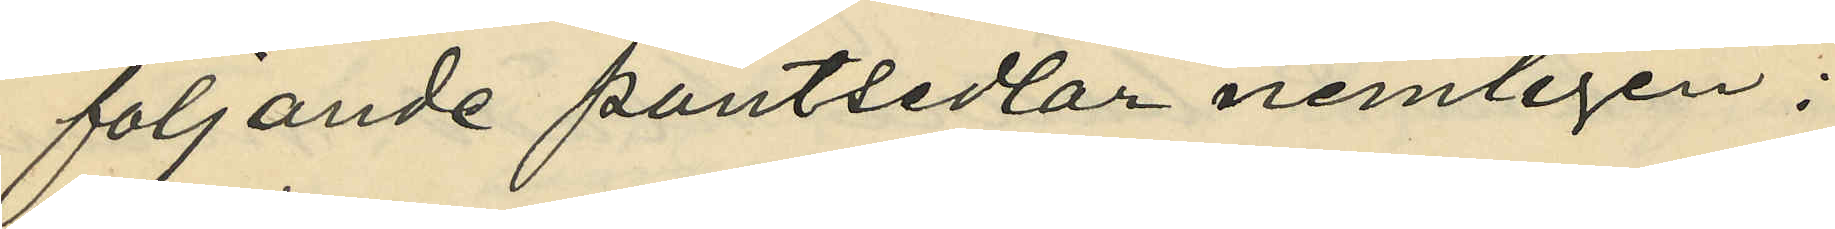följande pantsedlar nemligen:
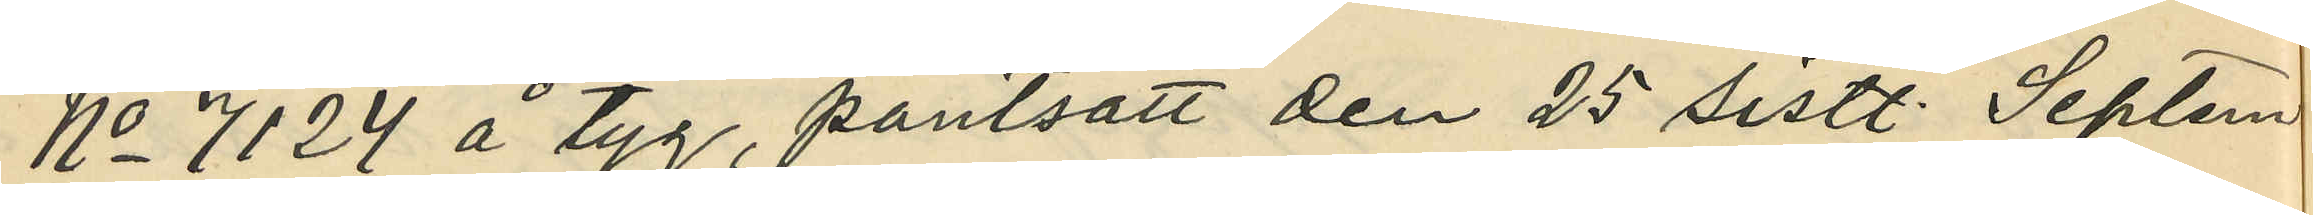No 7124 å tyg, pantsatt den 25 sistl. Septem
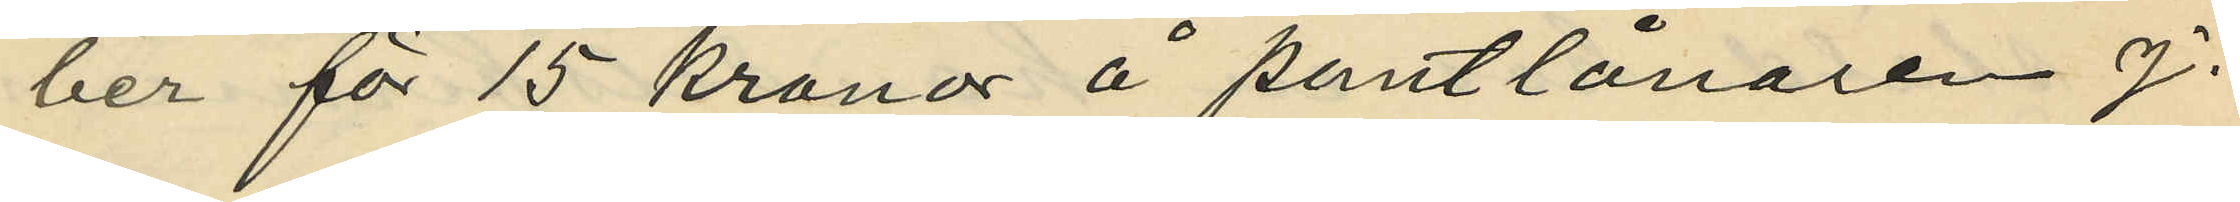ber för 15 kronor å pantlånaren J.
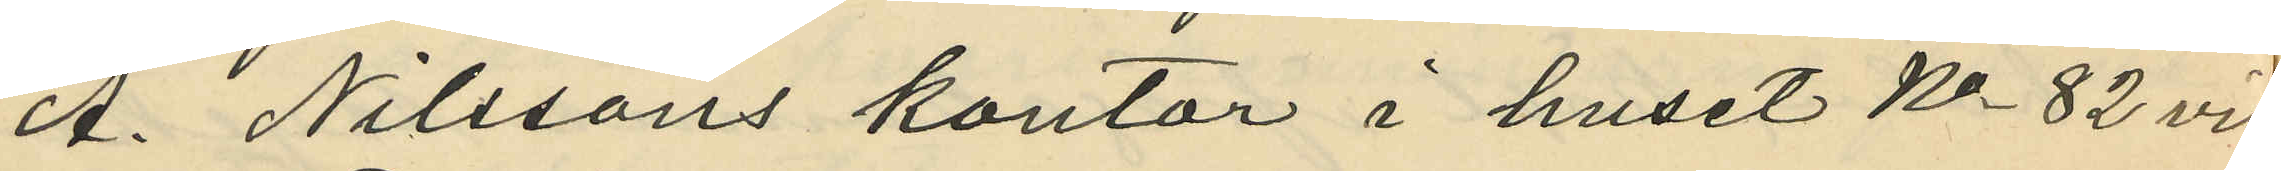A. Nilssons kontor i huset No 82 vid
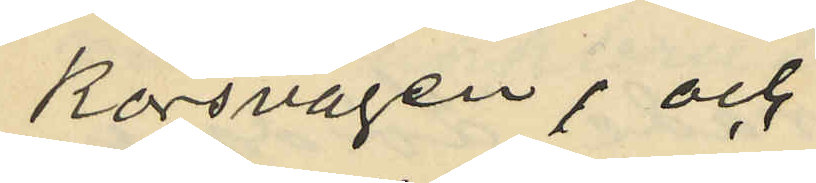Korsvägen; och
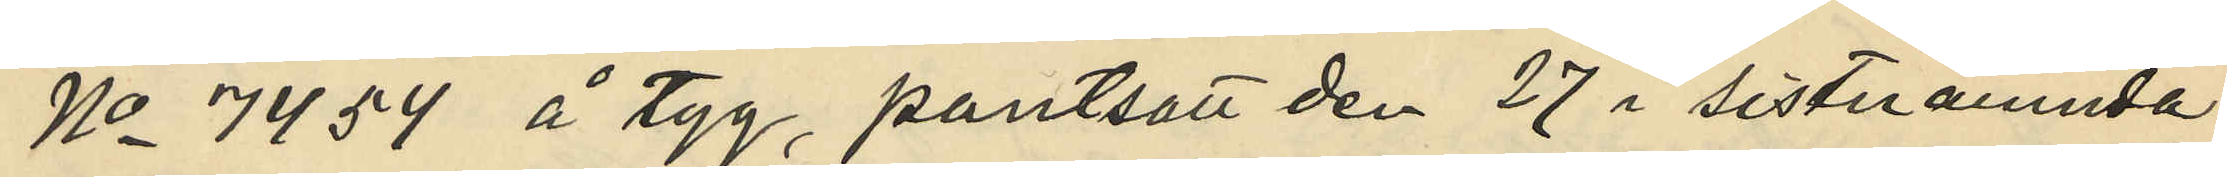No 7454 å tyg, pantsatt den 27 i sistnämnda
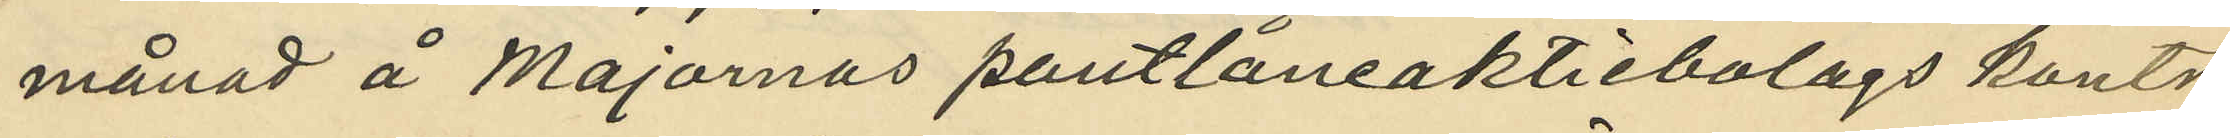månad å Majornas pantlåneaktiebolags kontor
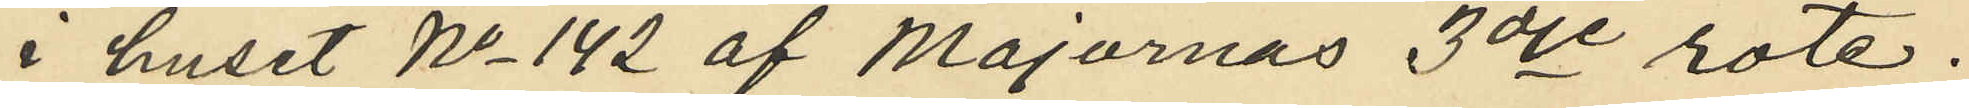i huset No 142 af Majornas 3dje rote.
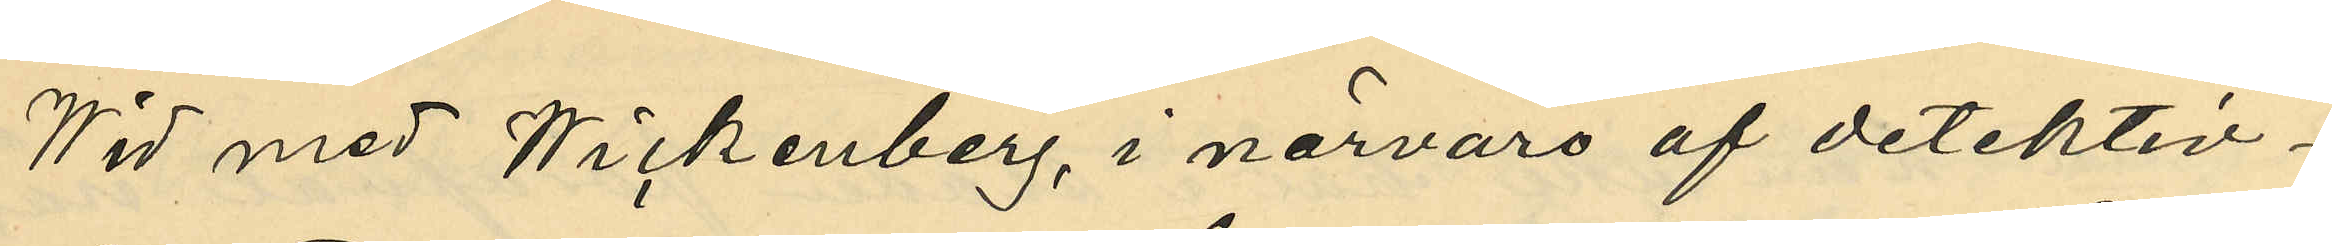Wid med Wickenberg, i närvaro af detektiv¬
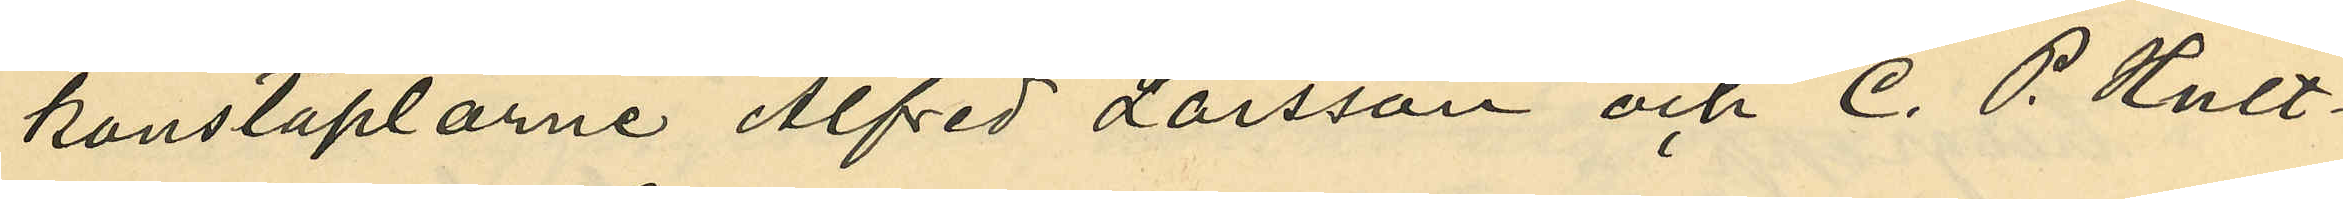konstaplarne Alfred Larsson och C. P. Hult¬
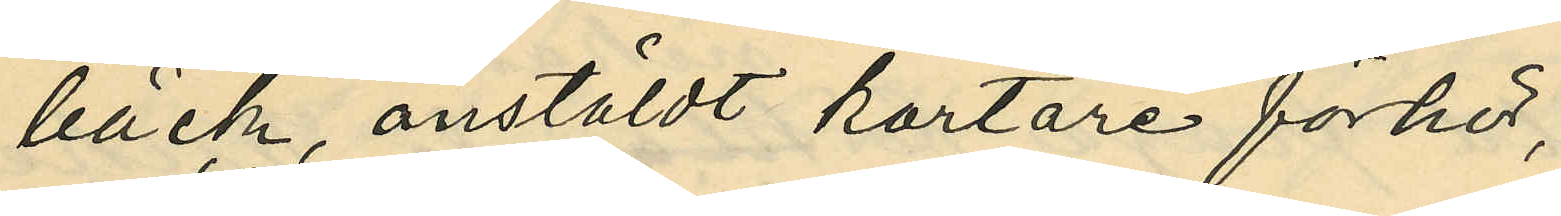bäck, anstäldt kortare förhör,
